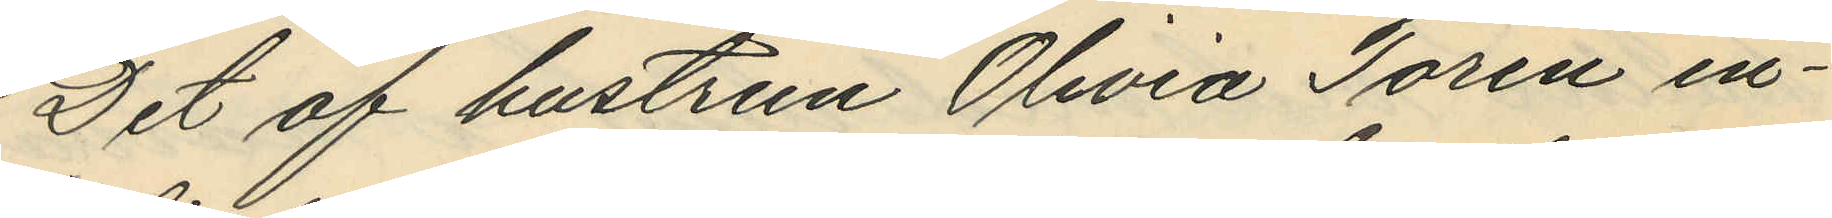Det af hustrun Olivia Torén in¬
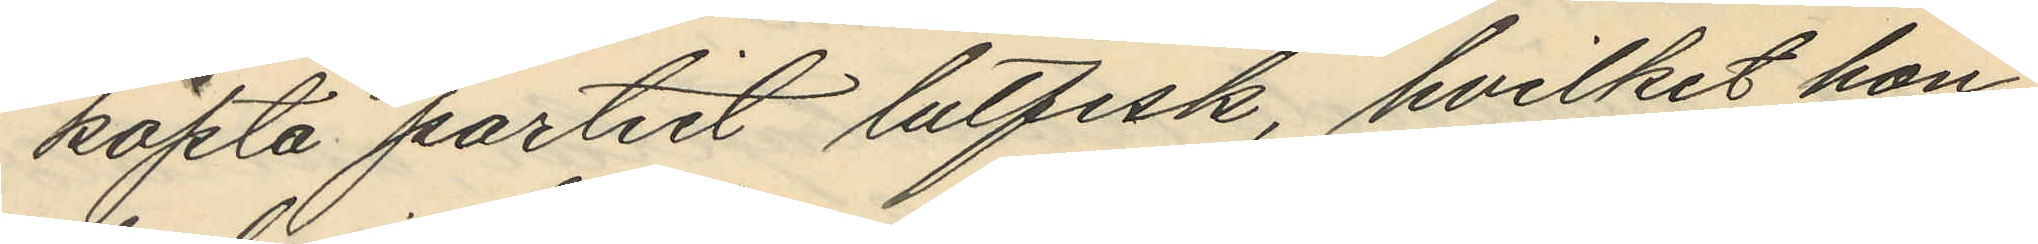köpta partiet lutfisk, hvilket hon
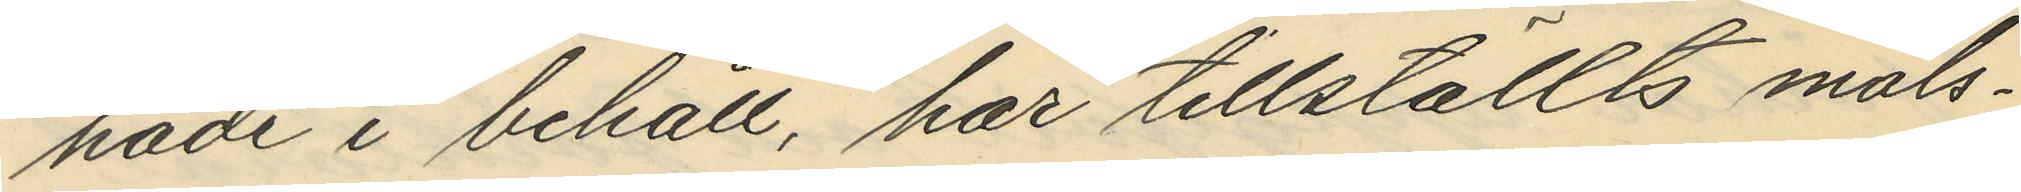hade i behåll, har tillställts måls¬
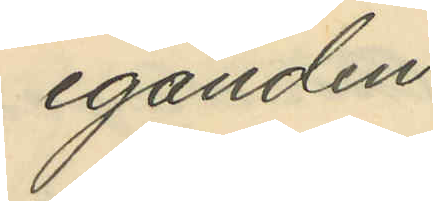eganden.
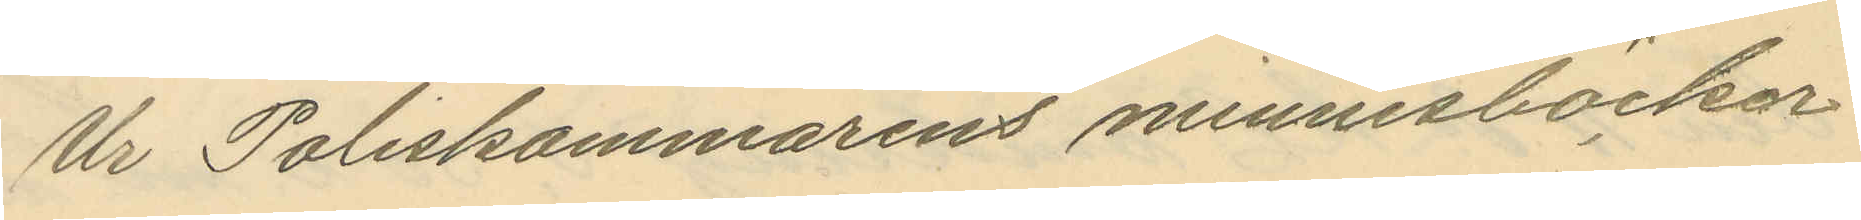Ur Poliskammarens minnesböckor
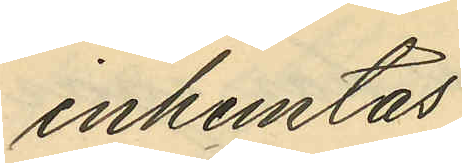inhemtas
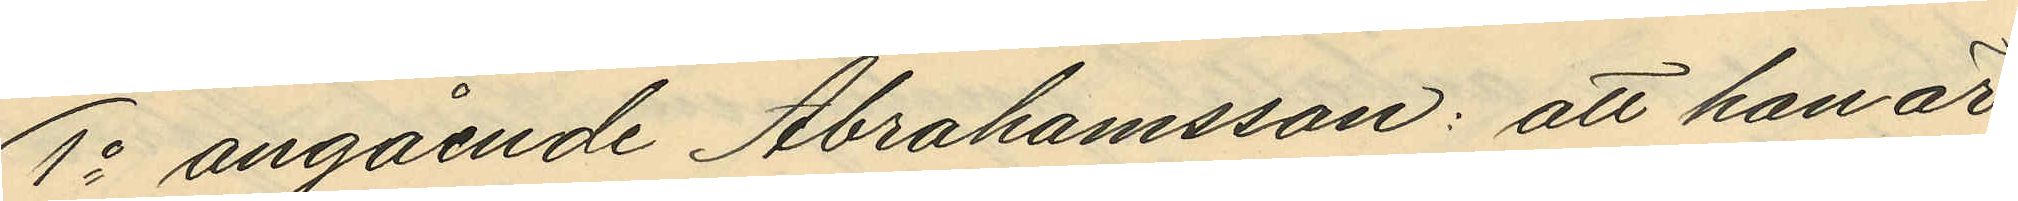1o angående Abrahamsson: att han är
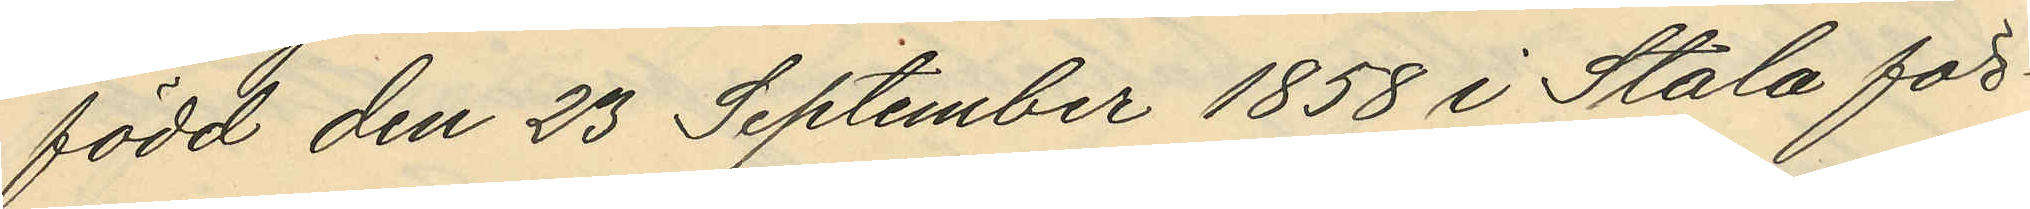född den 23 September 1858 i Stala för¬
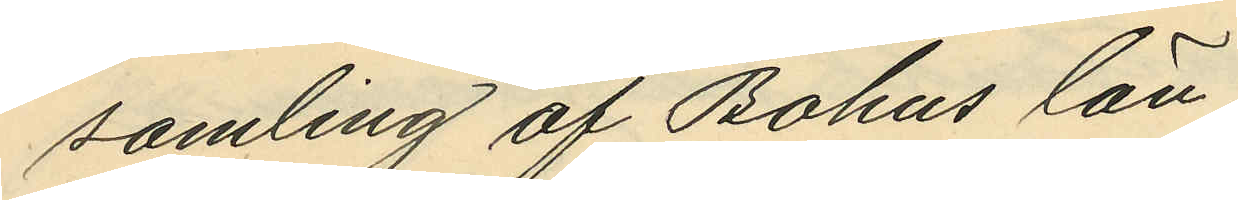samling af Bohus län,
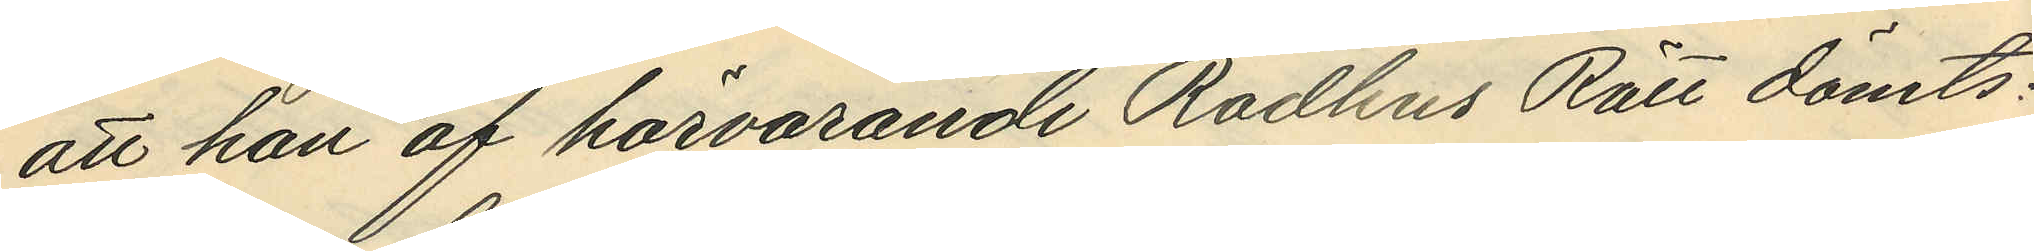att han af härvarande Rådhus Rätt dömts:
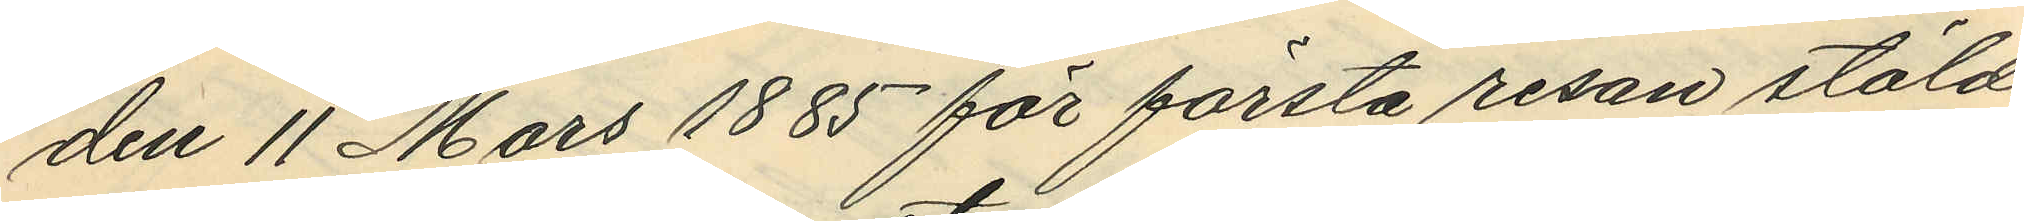den 11 Mars 1885 för första resan stöld
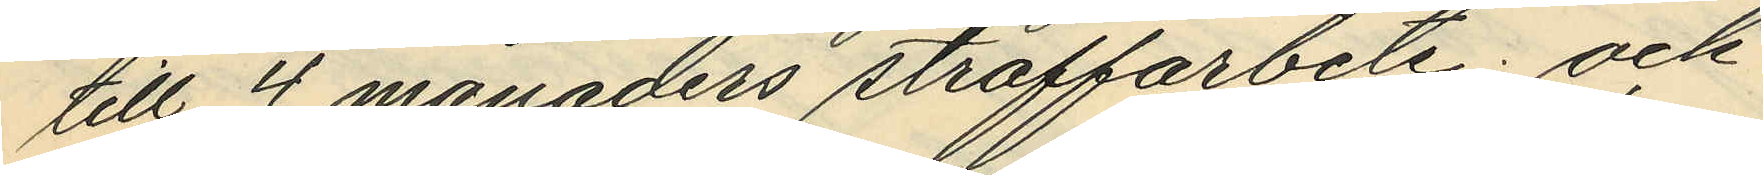till 4 månaders straffarbete; och
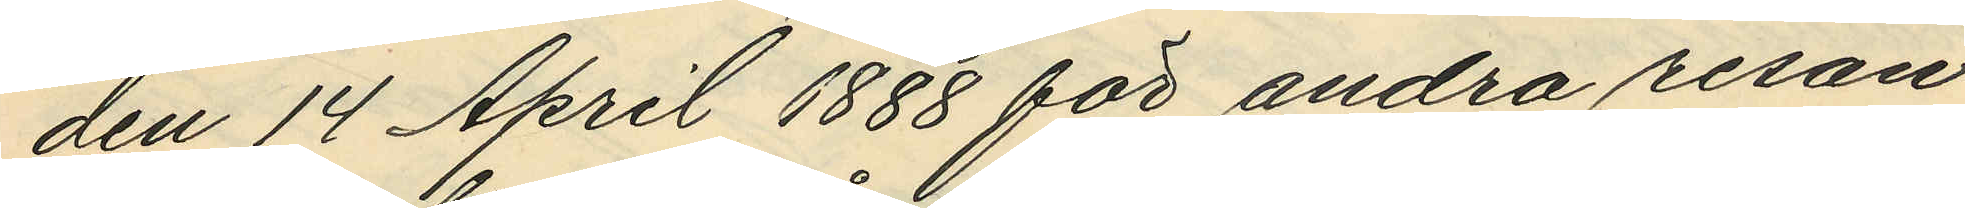den 14 April 1888 för andra resan
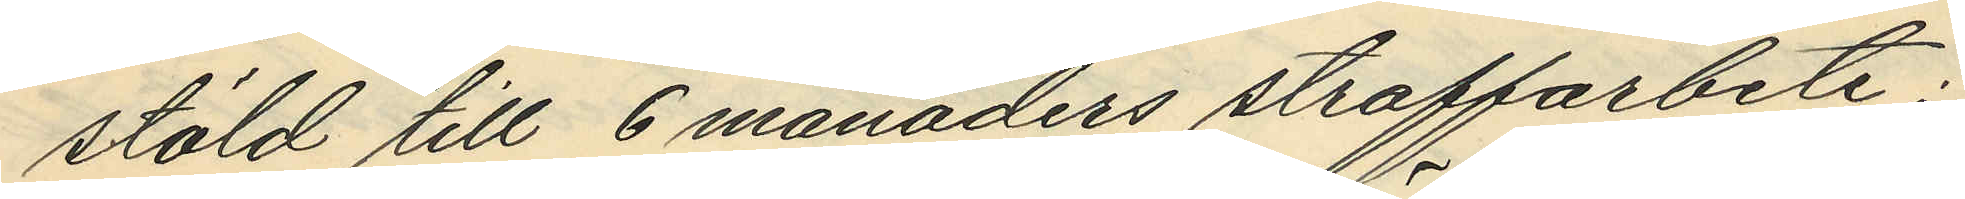stöld till 6 månaders straffarbete;
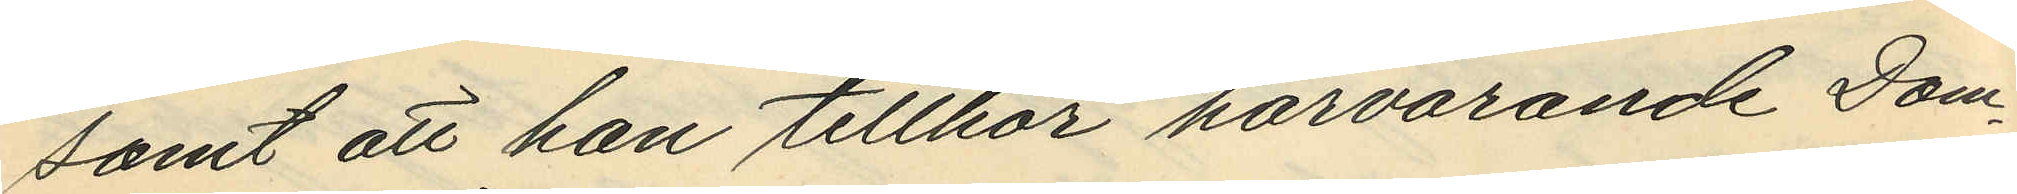samt att han tillhör härvarande Dom¬
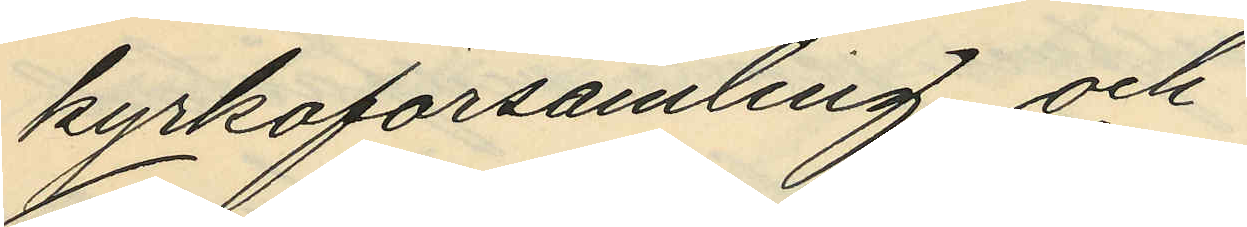kyrkoförsamling och
